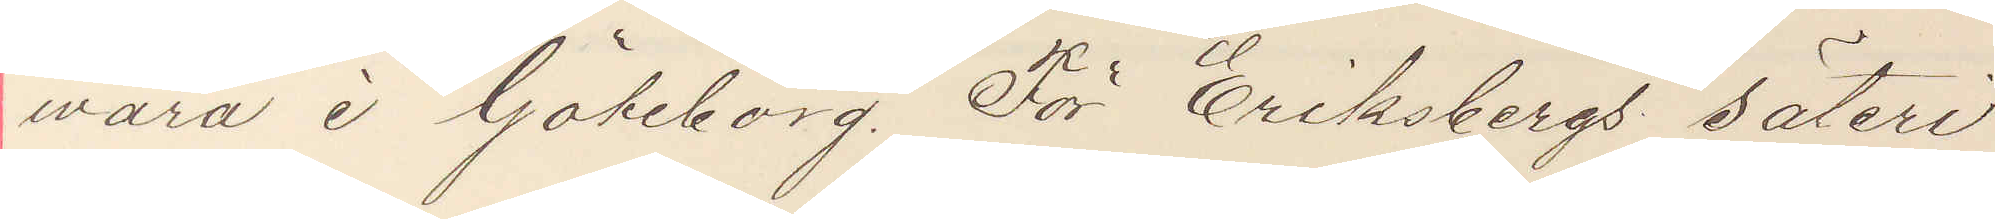wara i Göteborg. För Eriksbergs säteri
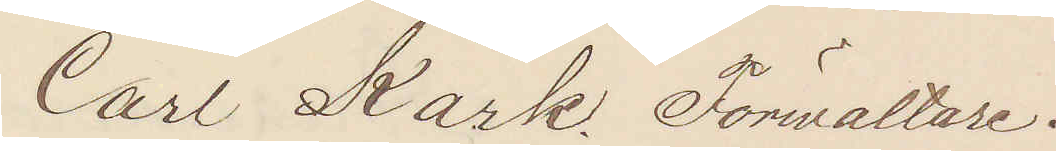Carl Kark Förwaltare.
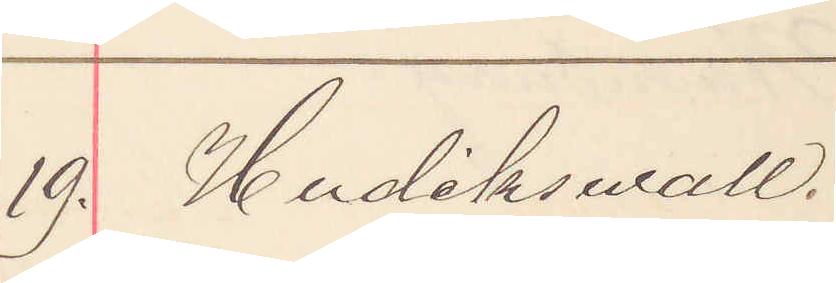19. Hudikswall
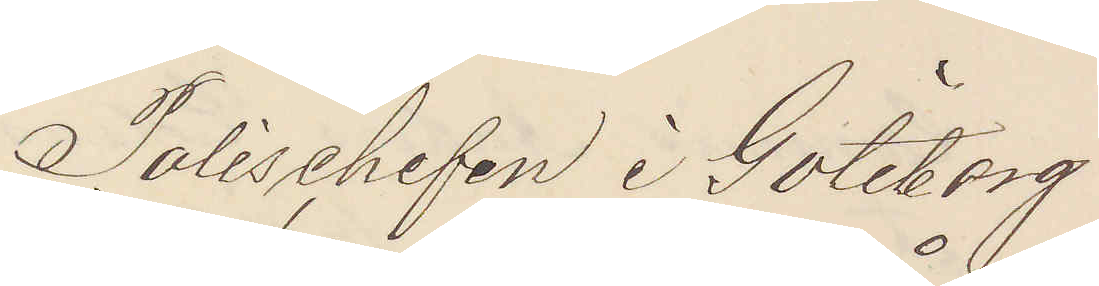Polischefen i Göteborg
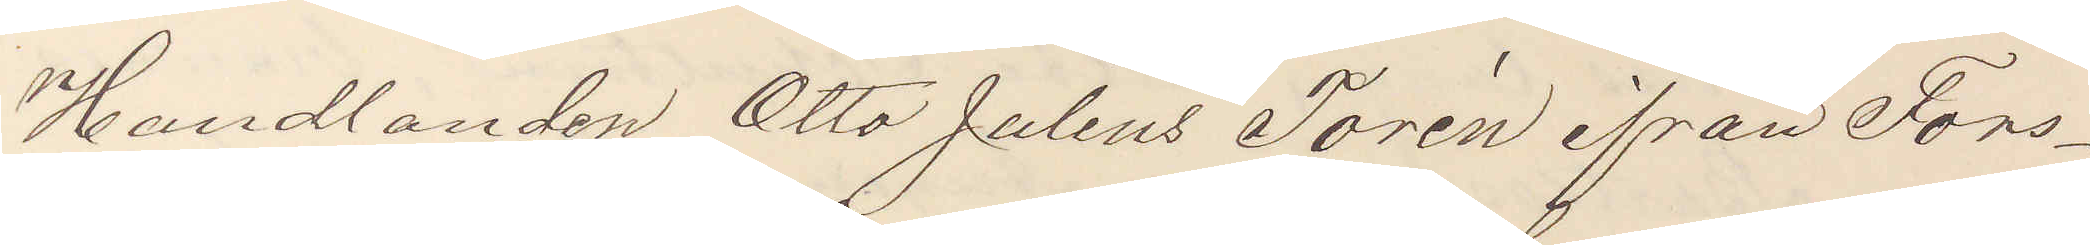Handlanden Otto Julius Torén ifrån Fors¬
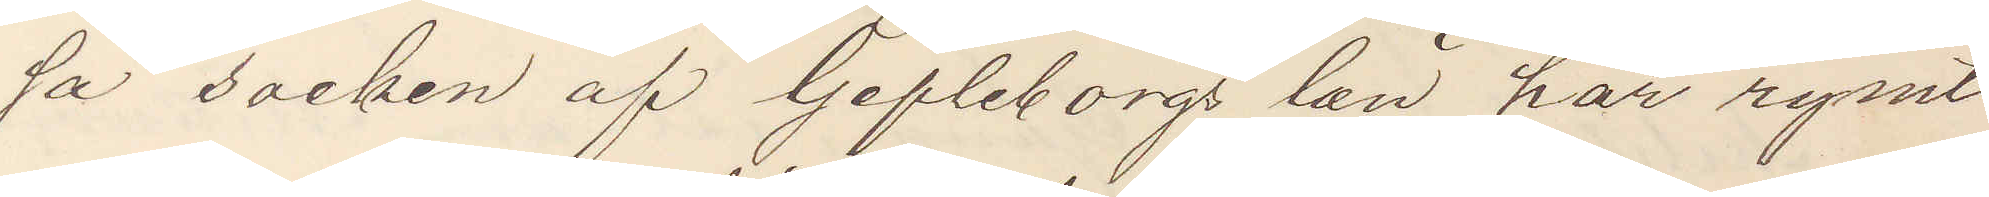sa socken af Gefleborgs län har rymt
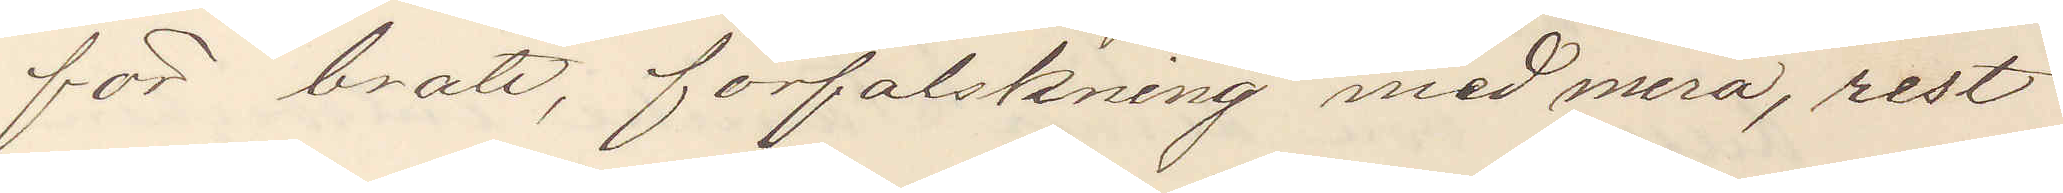för brott, förfalskning med mera, rest
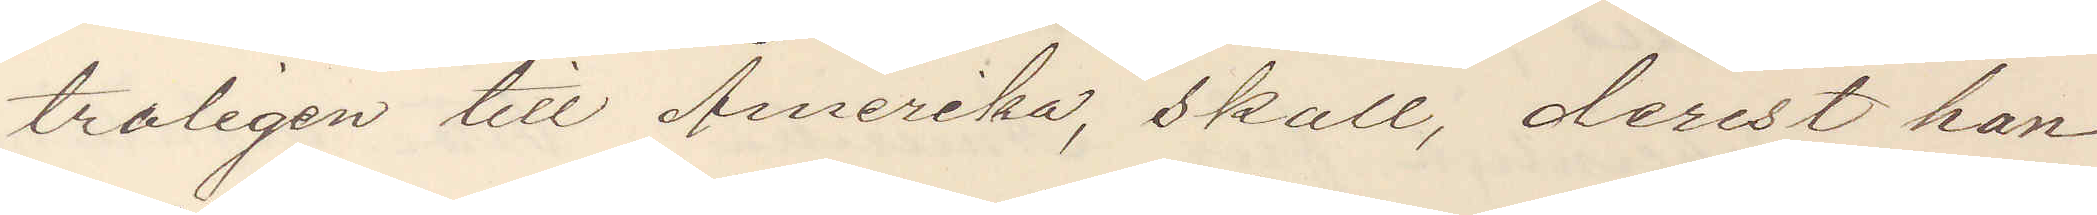troligen till Amerika, skall derest han
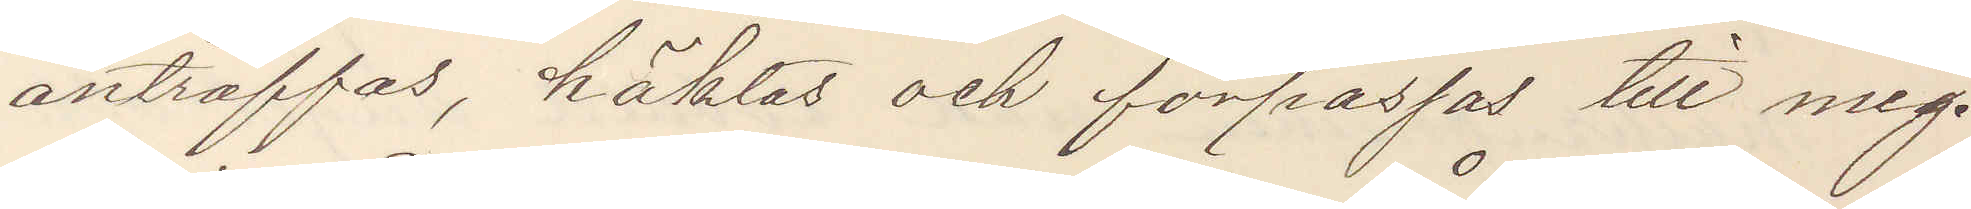anträffas, häktas och förpassas till mig.
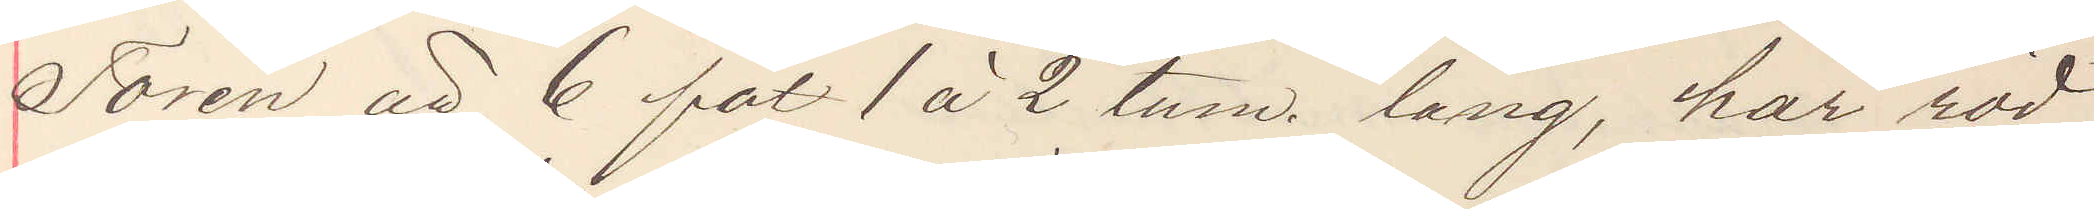Torén är 6 fot 1 à 2 tum lång, har röd¬
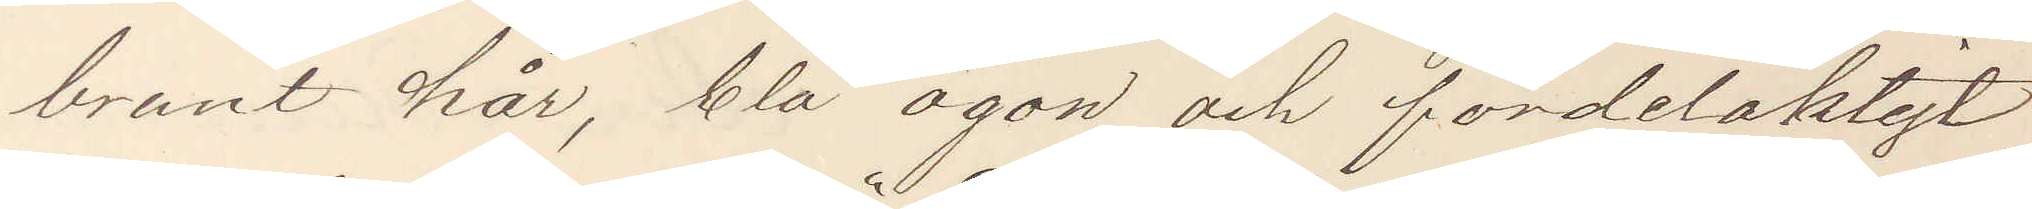brunt hår, blå ögon och fördelaktigt
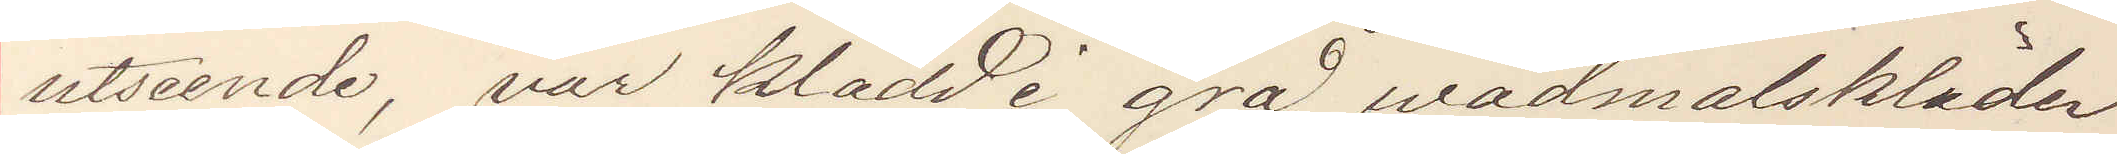utseende, var klädd i grå wadmalskläder
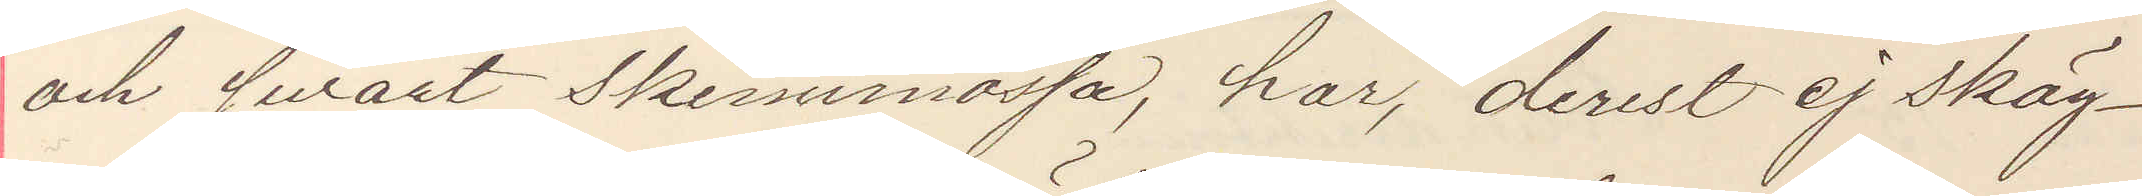och svart skinnmössa, har, derest ej skäg¬
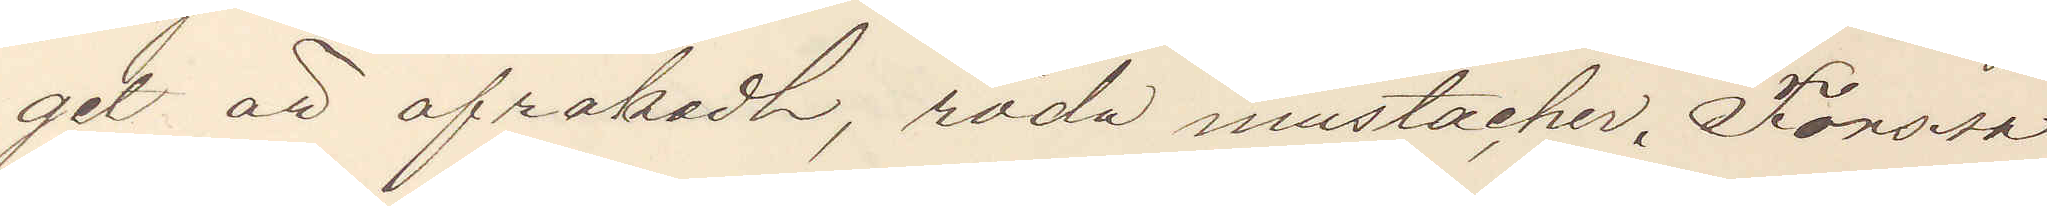get är afrakadt, röda mustacher. Forssa
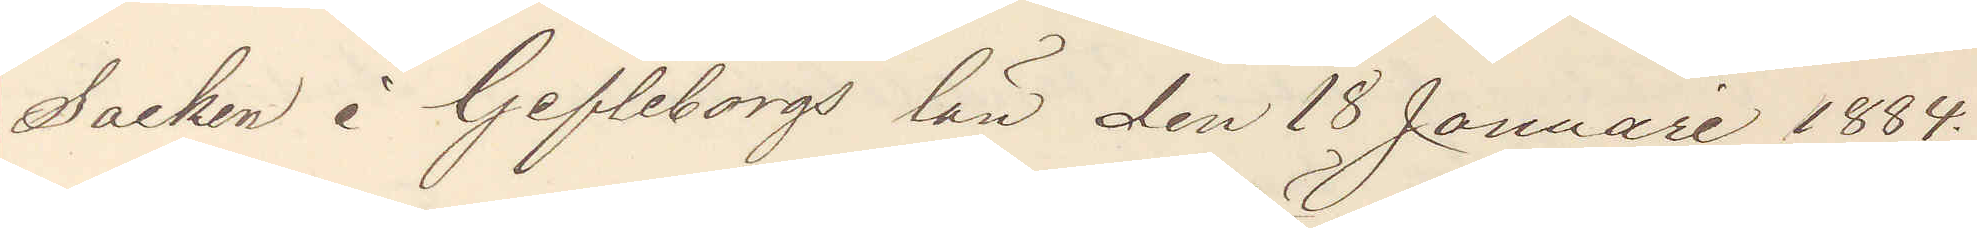Socken i Gefleborgs län den 18 Januari 1884.
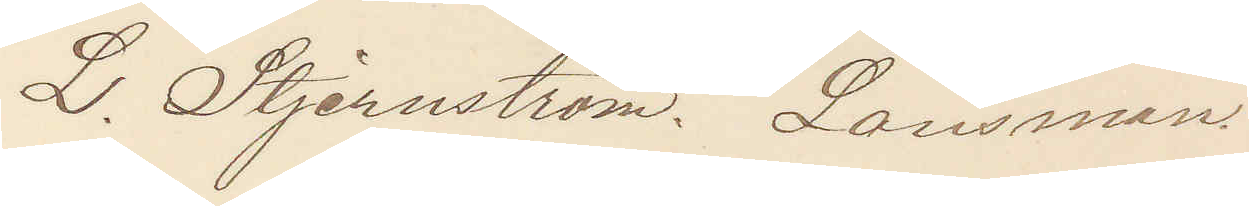L. Stjernström. Länsman
